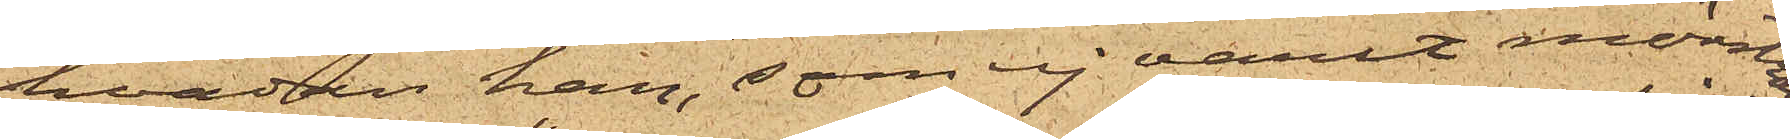hvadan han, som ej varit mönstrad
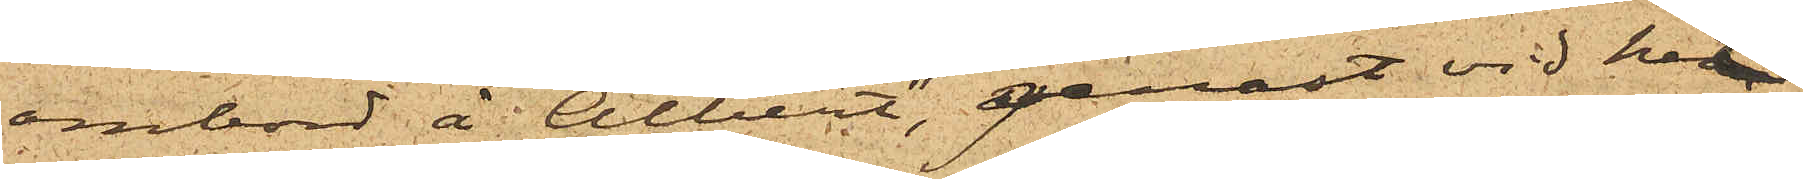ombord å "Albert", genast vid hit¬
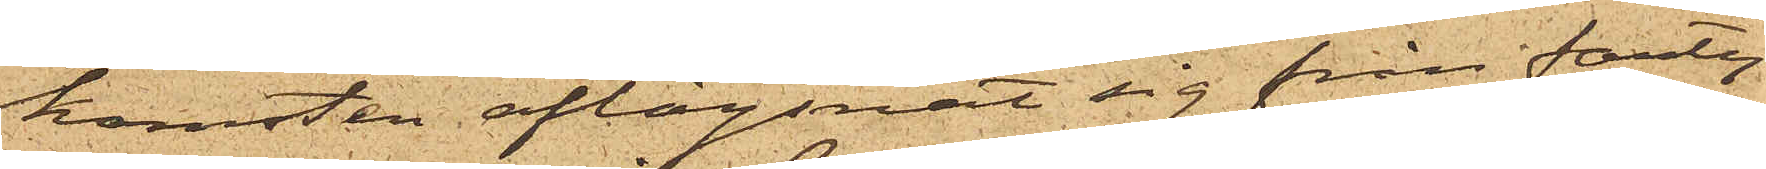komsten aflägsnat sig från farty¬
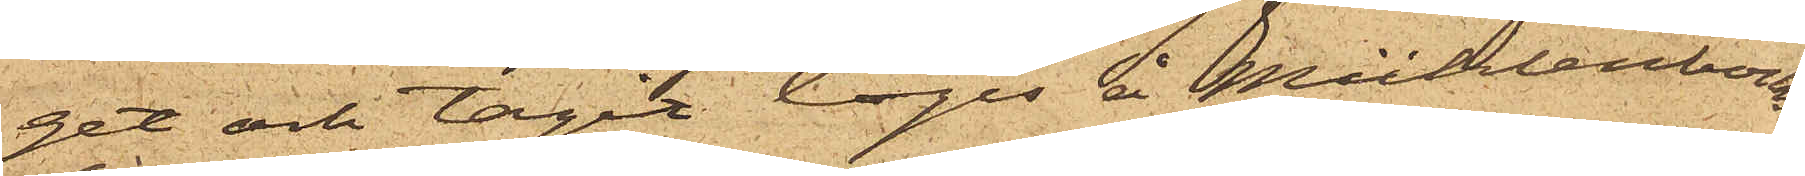get och tagit logis å Mühlenbocks
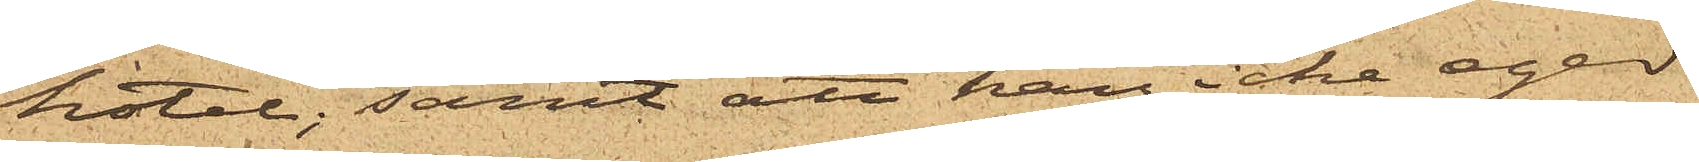hotel; samt att han icke eger
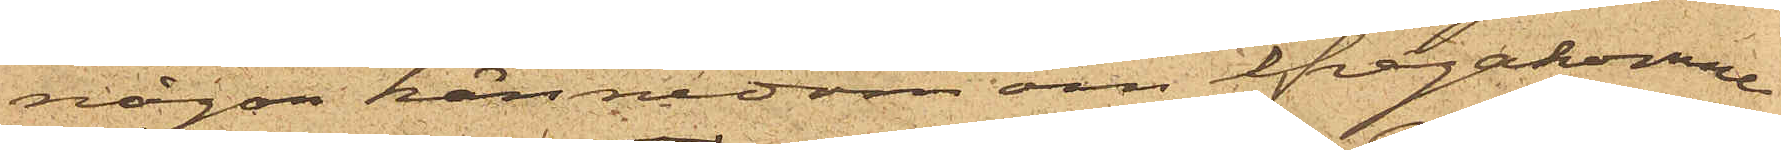någon kännedom om ifrågakomne
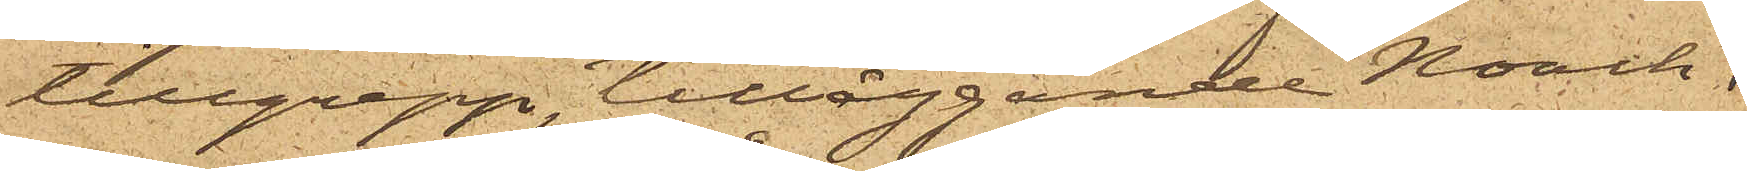tillgrepp, tilläggande Noach,
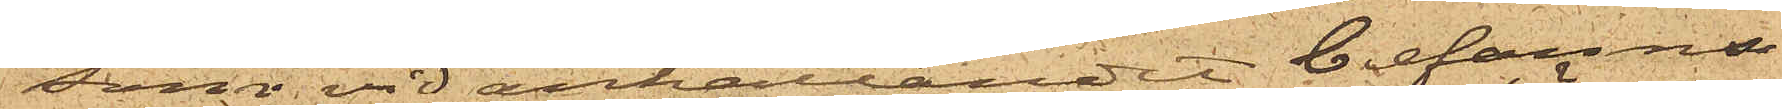som vid anhållandet befanns
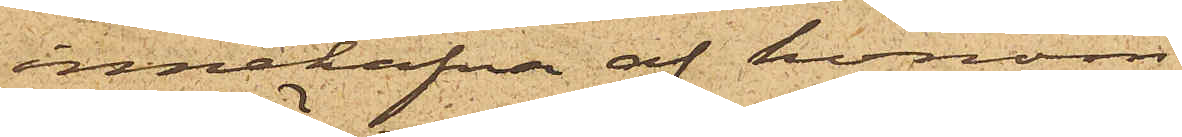innehafva af honom
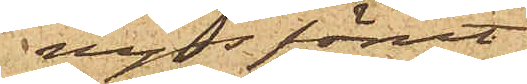nyss förut
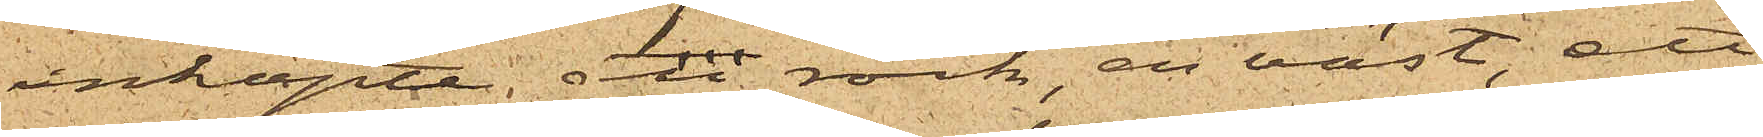inköpte en rock, en väst; ett
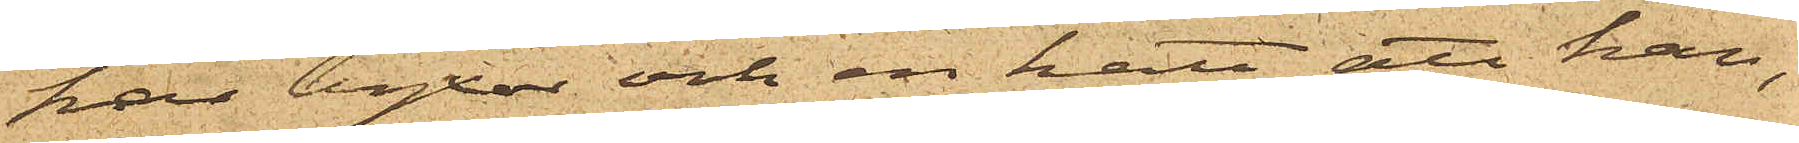par byxor och en hatt, att han,
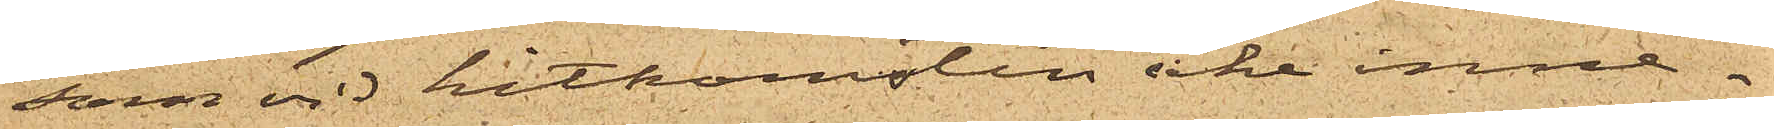som vid hitkomsten icke inne¬
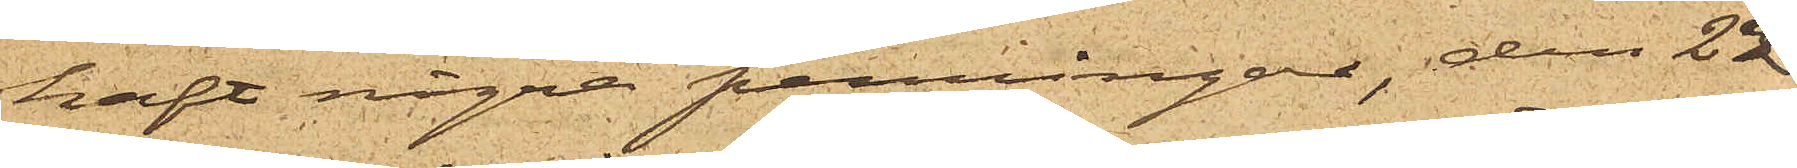haft några penningar, den 22
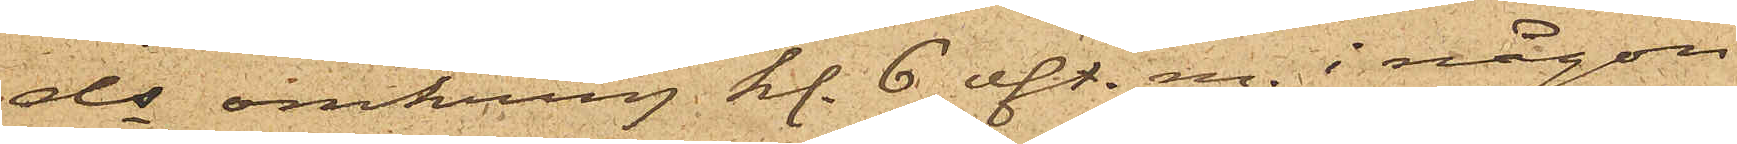ds omkring kl. 6 eft. m. i någon
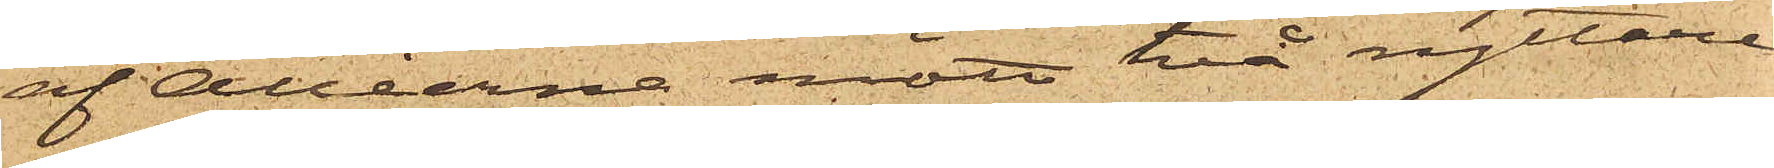af Alléerna mött två ryttare
